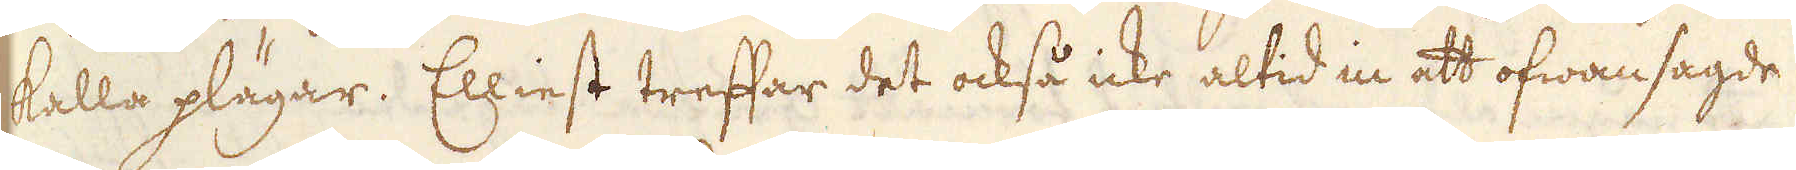kalla plägar. Elliest treffar det också icke altid in att ofwansagde
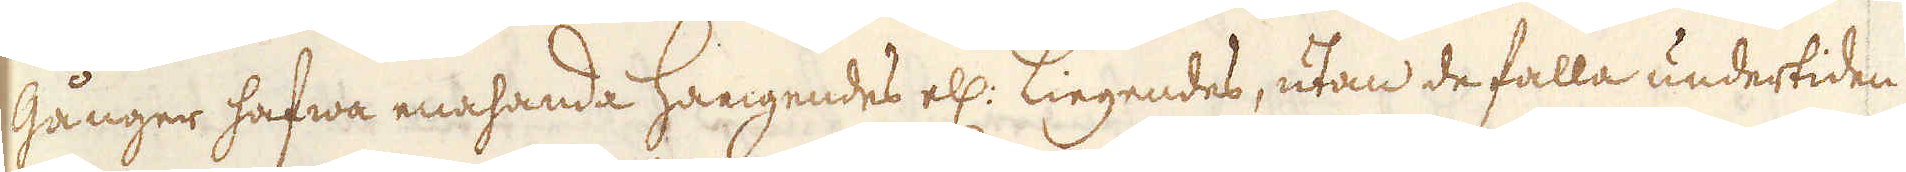Gånger hafwa enahanda Hangendes ell: Liegendes, utan de falla undertiden
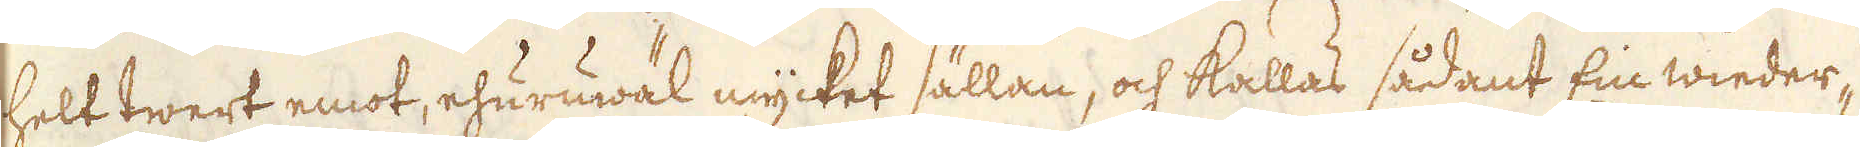helt twert emot, ehuruwäl mycket sällan, och kallas sådant Ein wieder-
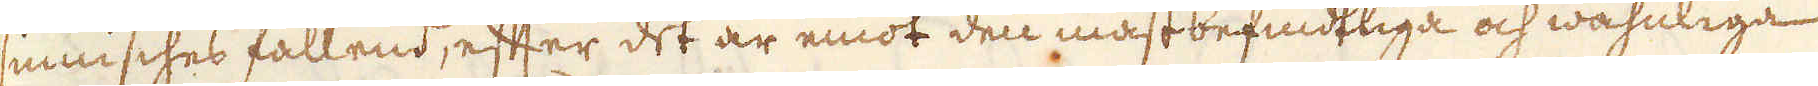sinnisches fallend, efter det är emot den mästbefindtliga och wahnliga
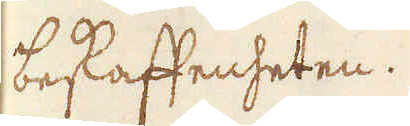beskaffenheten.
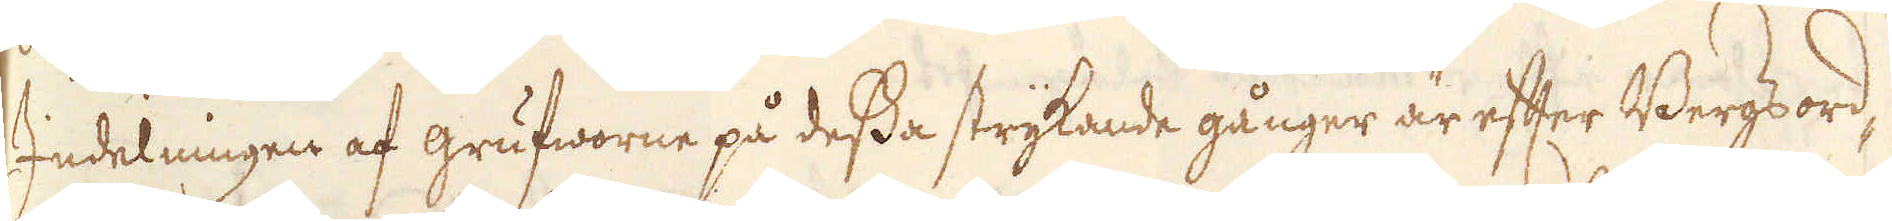Indelningen af grufworne på dessa strykande gånger är efter Bergsord-
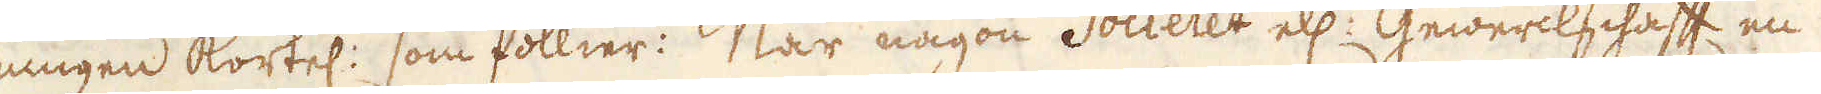ningen kortel: som föllier: När någon Societet ell: Gewerckschafft en
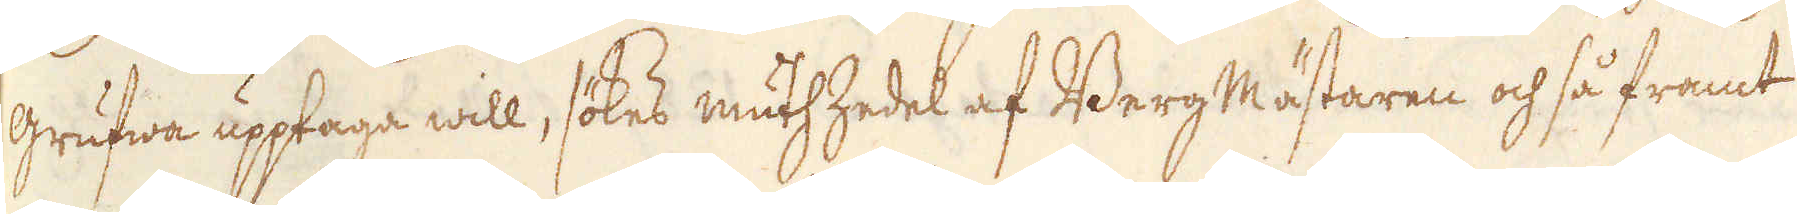grufwa upptaga will, sökes muthzedel af Berg Mästaren och så framt
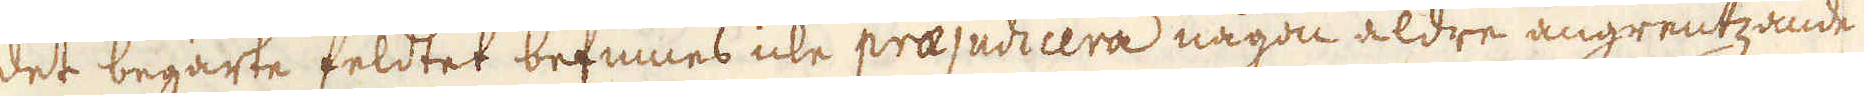det begärte feldtet befinnes icke praejudicera någon äldre angrentzande
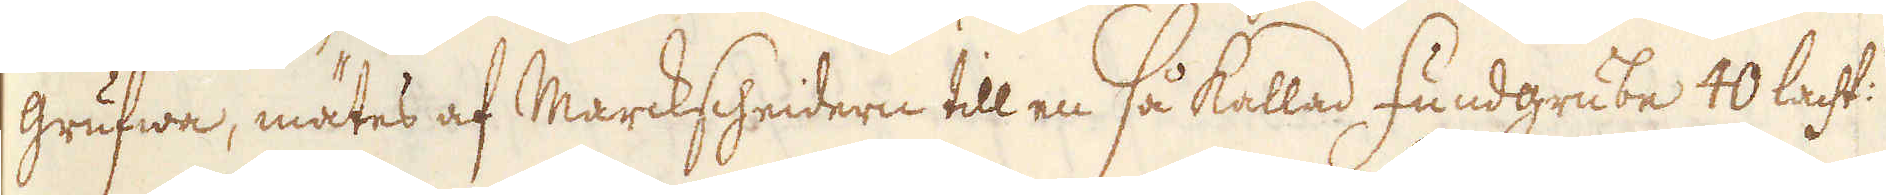grufwa, mätes af Marckscheidern till en så kallad Fundgrube 40 lacht:s
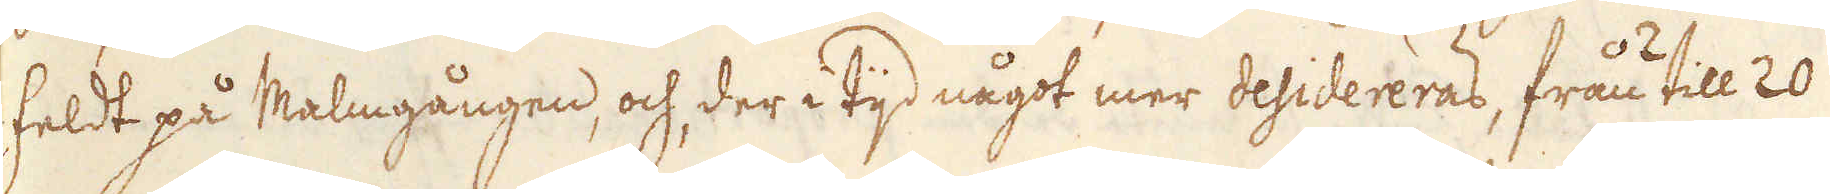feldt på Malmgången, och der i tijd något mer desidereras, från 2 till 20
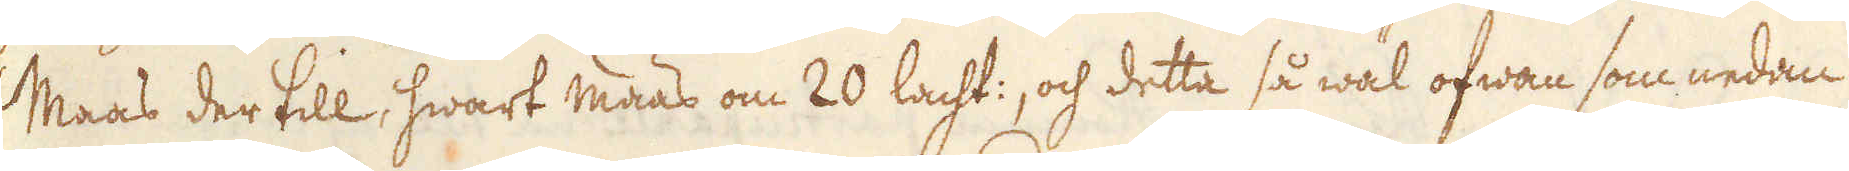Maas der till, hwart maas om 20 lacht:, och detta så wäl ofwan som nedan
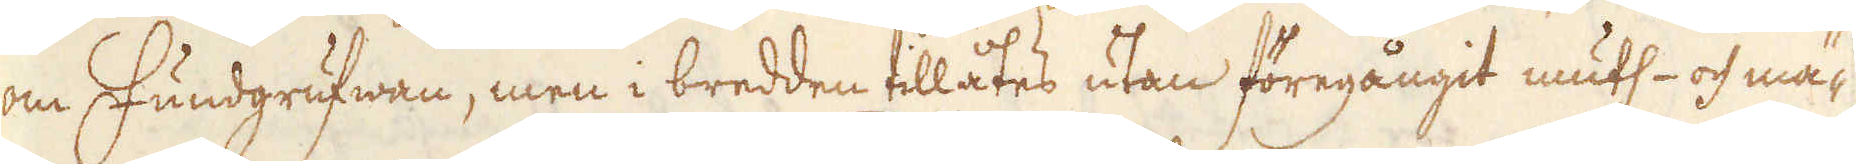om Fundgrufwan, men i bredden tillåtes utan föregångit muth- och mä-
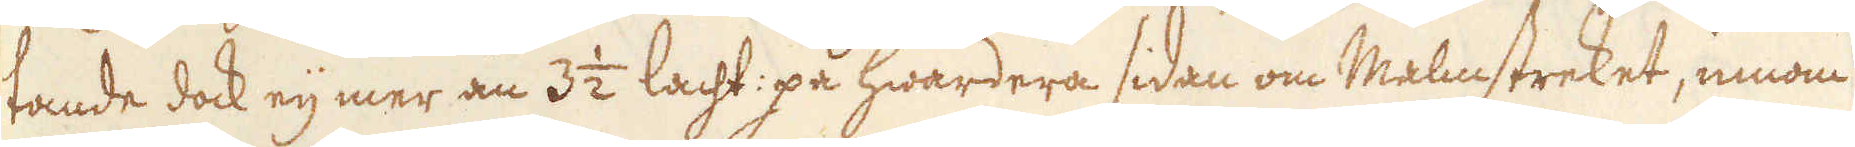tande dock eij mer än 3 1/2 lacht: på hwardera sidan om Malmstreket, innom
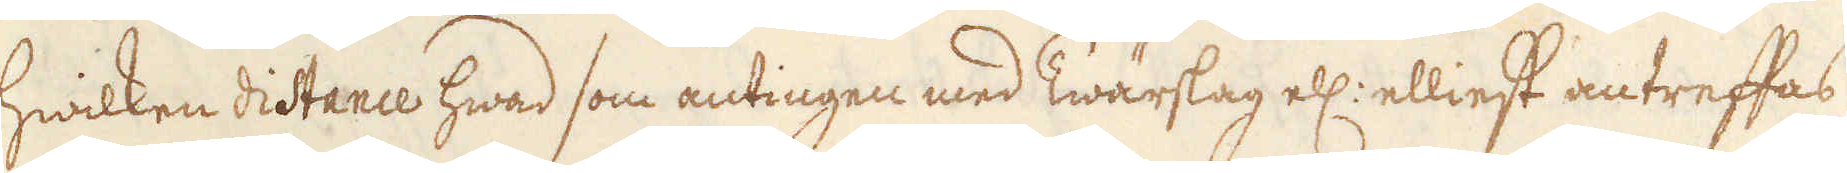hwilken distance hwad som antingen med Twärslag ell: elliest antreffas
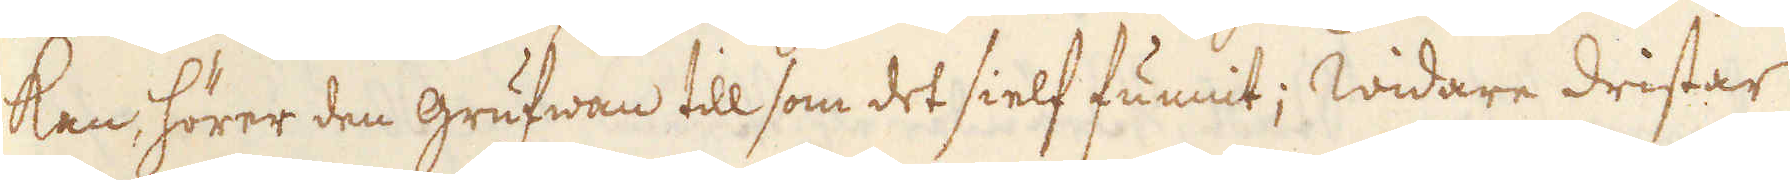kan, hörer den grufwan till som det sielf funnit; Widare dristar
